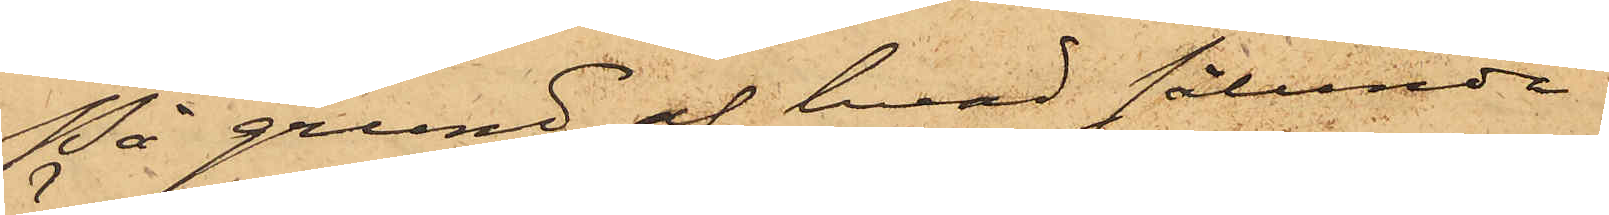På grund af hvad sålunda
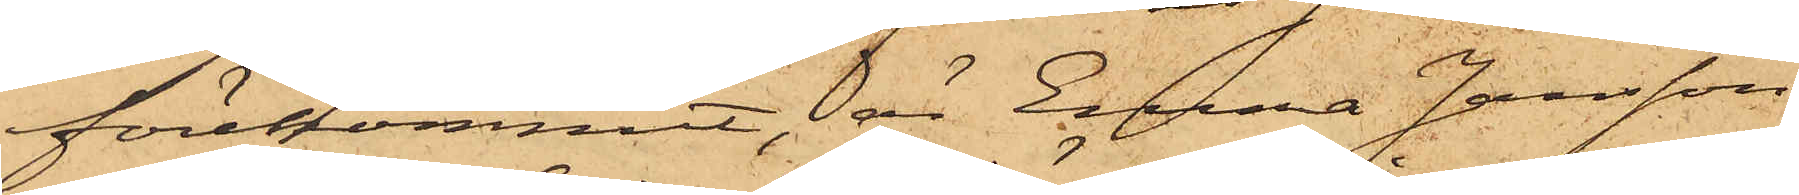förekommit, är Emma Jansson
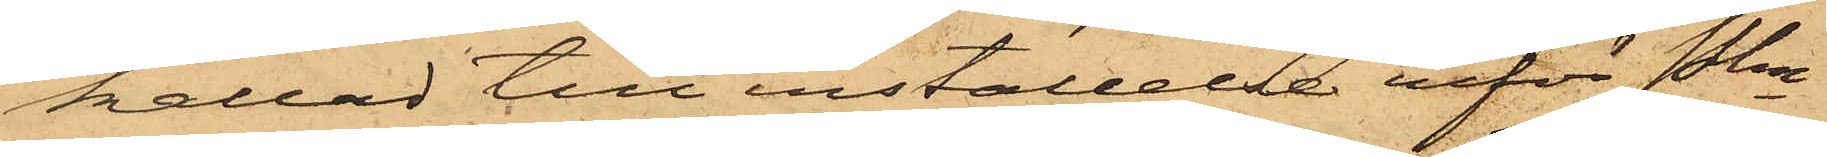kallad till inställelse inför Pkn
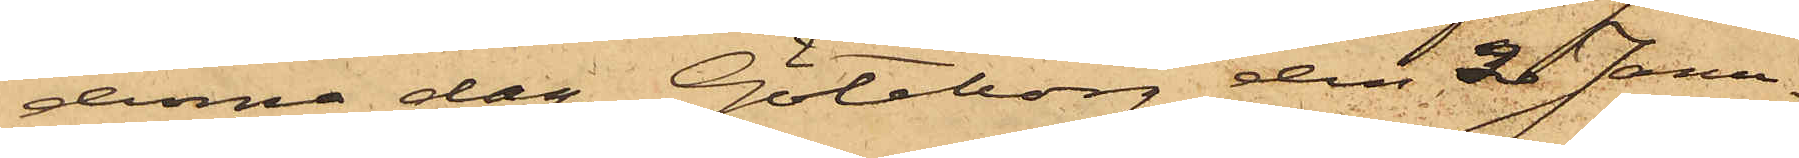denna dag. Göteborg den 2 Janu¬
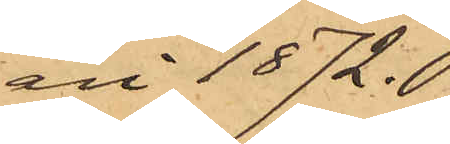ari 1872.
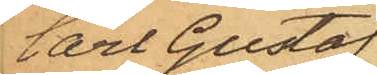Carl Gustaf
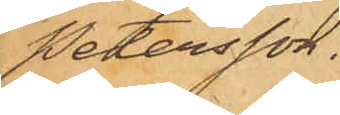Petersson.
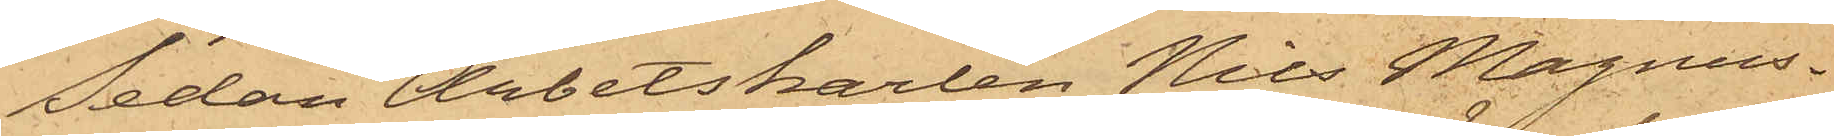Sedan Arbetskarlen Nils Magnus¬
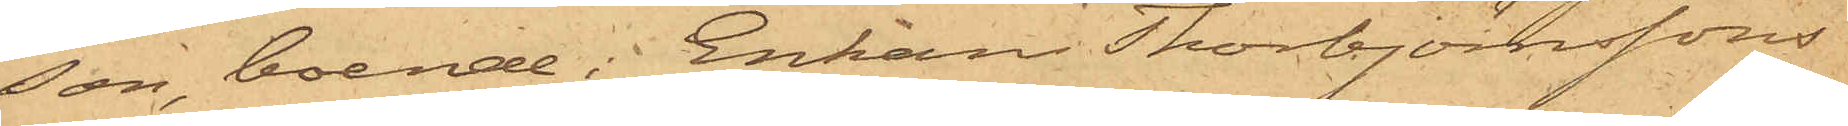son, boende i Enkan Thorbjörnssons
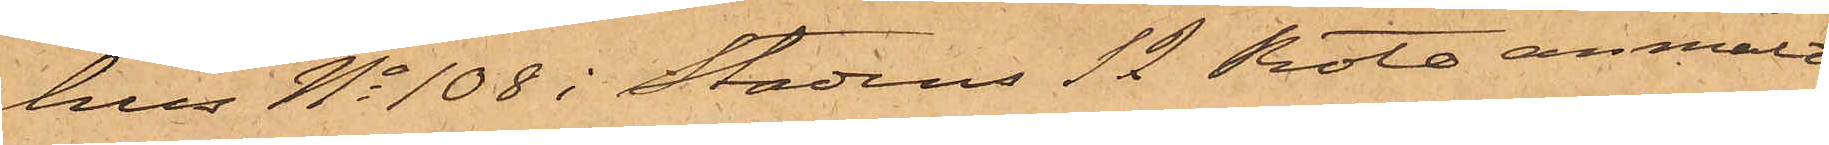hus No 108 i Stadens 12 Rote, anmält
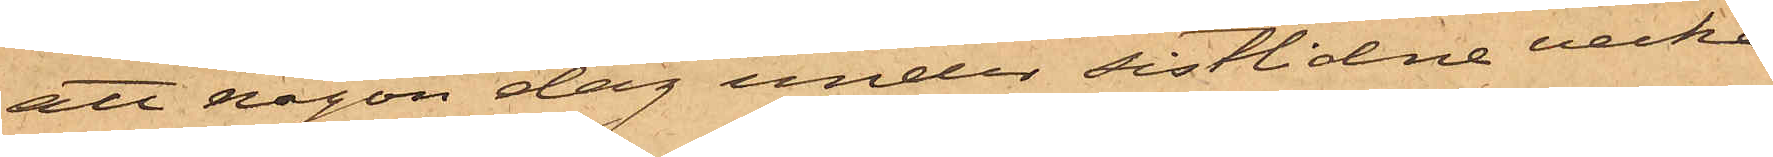att någon dag under sistlidne vecka
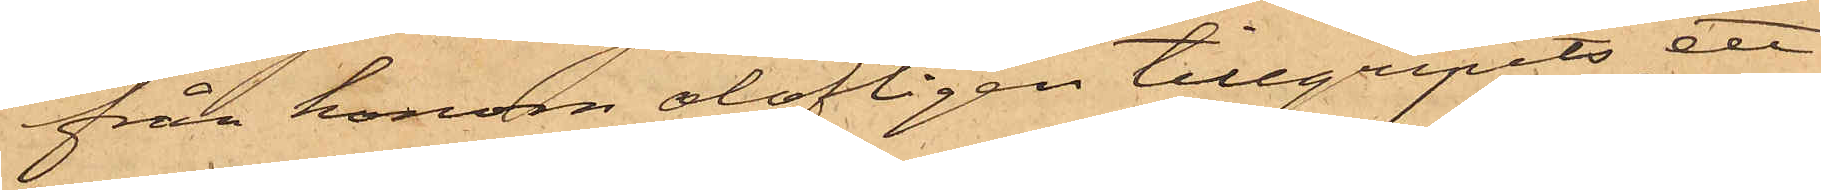från honom olofligen tillgripits ett
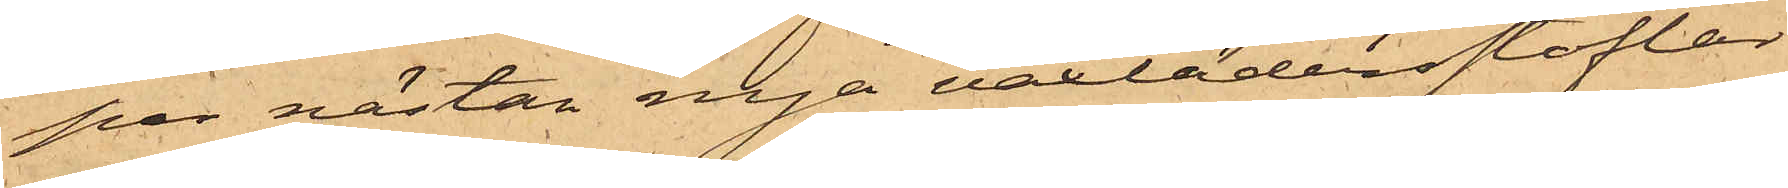par nästan nya vaxlädersstöflar,
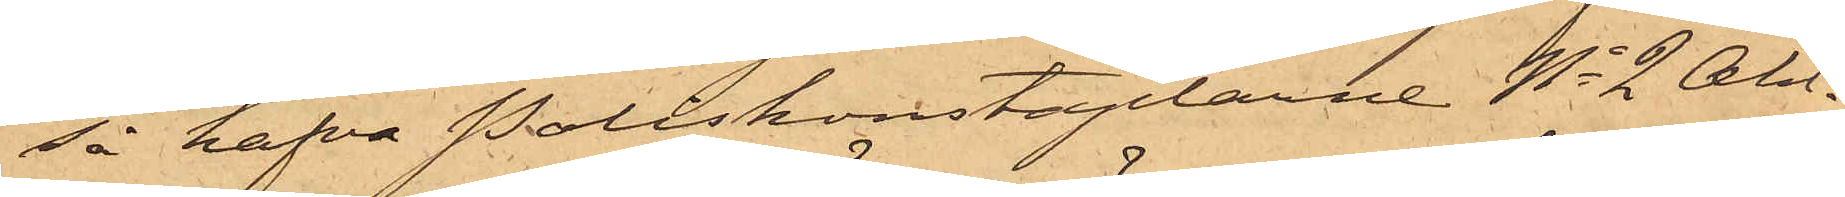så hafva Poliskonstaplarne No 2 Ahl¬
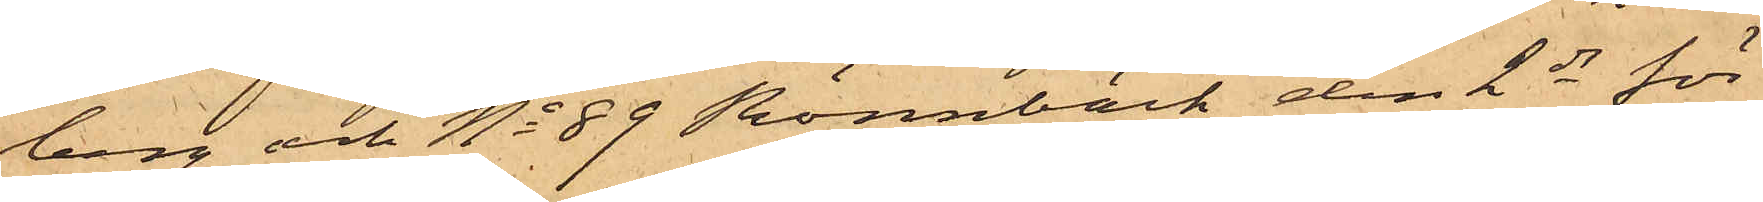berg och No 89 Rönnbäck den 2 ds för
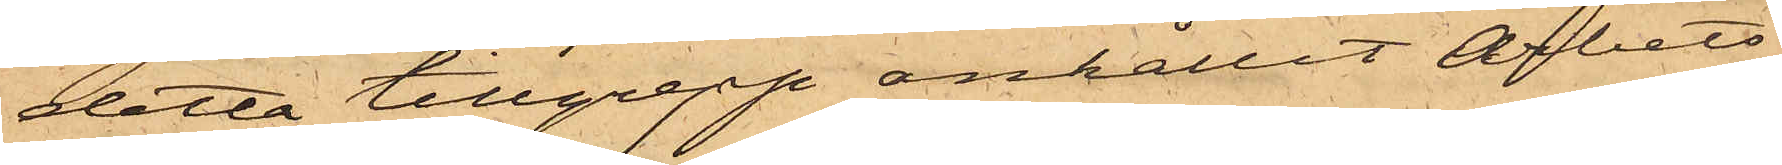detta tillgrepp anhållit Arbets¬
